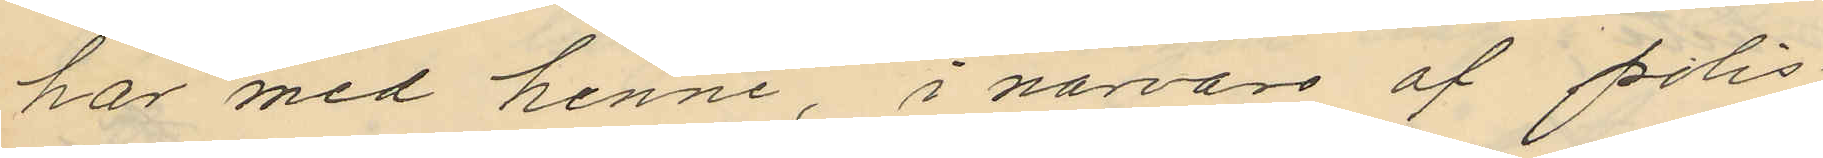har med henne, i närvaro af polis¬
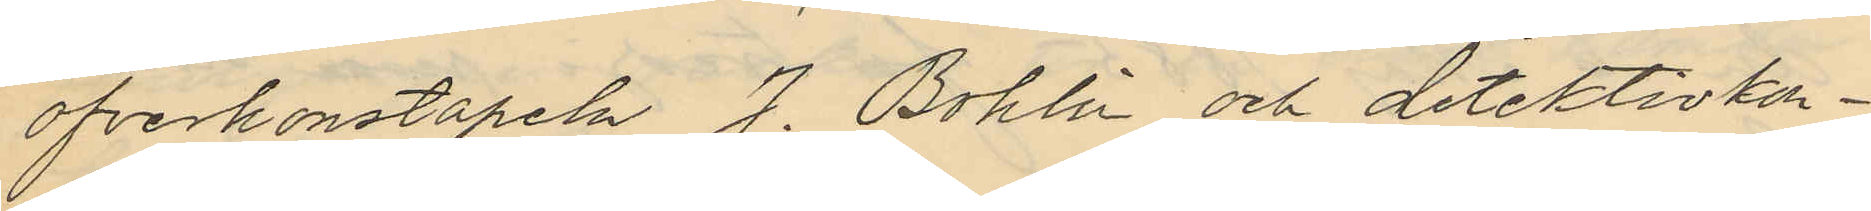öfverkonstapeln J. Bohlin och detektivkon¬
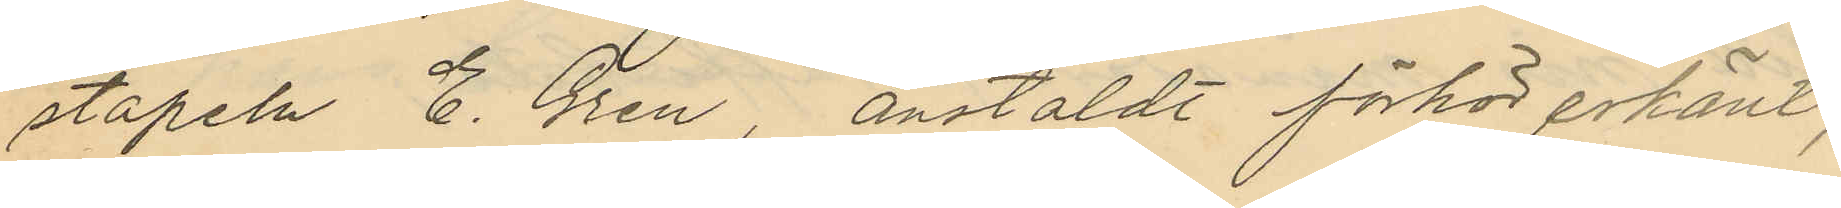stapeln E. Gren, anstäldt förhör erkänt,
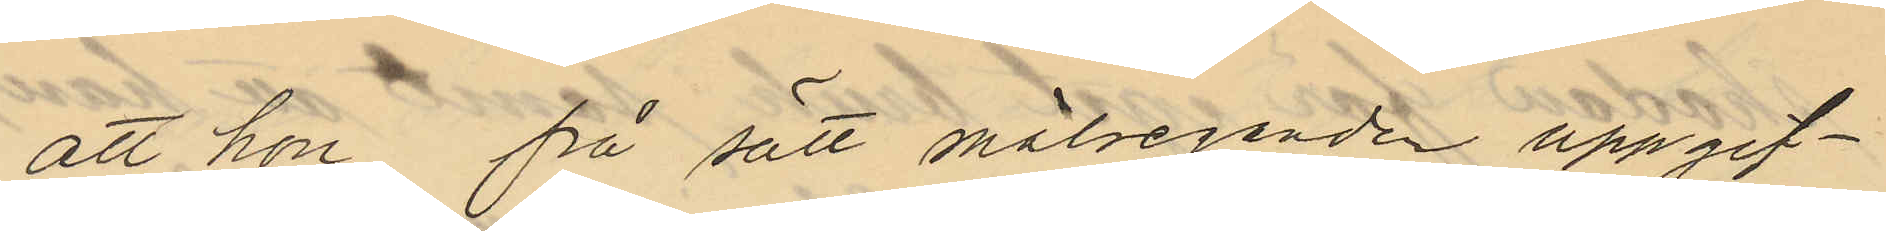att hon på sätt målseganden uppgif¬
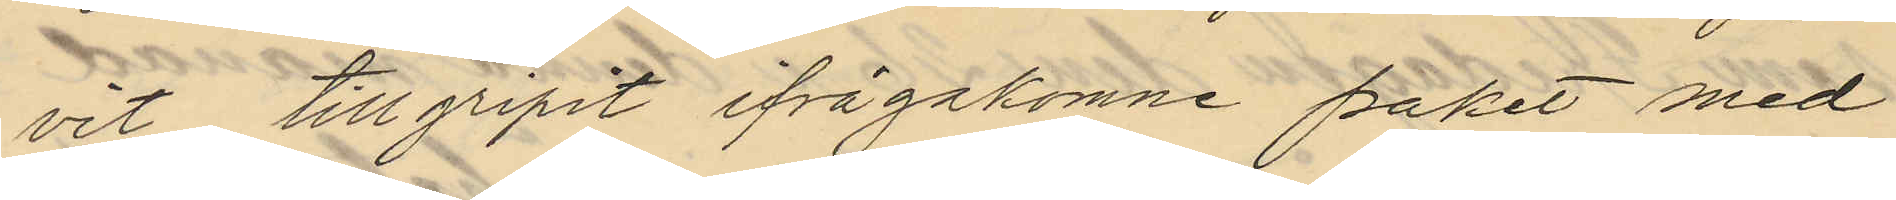vit tillgripit ifrågakomne paket med
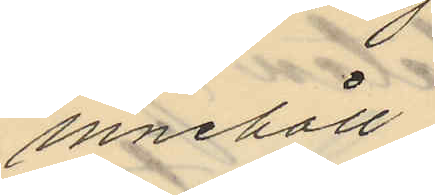innehåll.
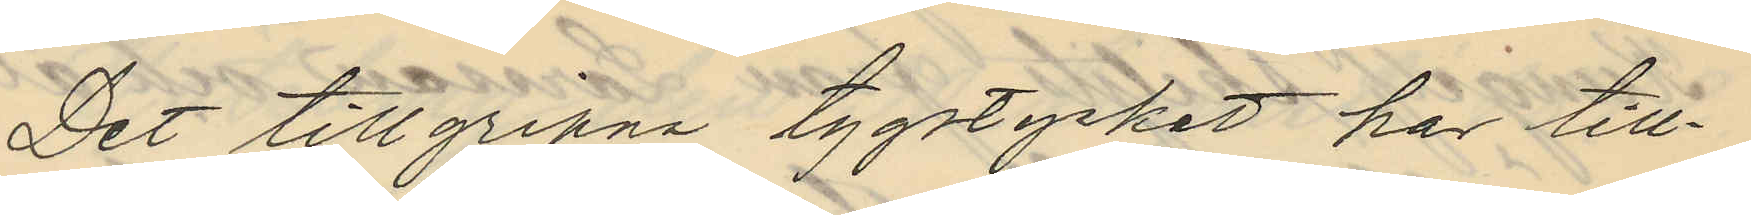Det tillgripna tygstycket har till¬
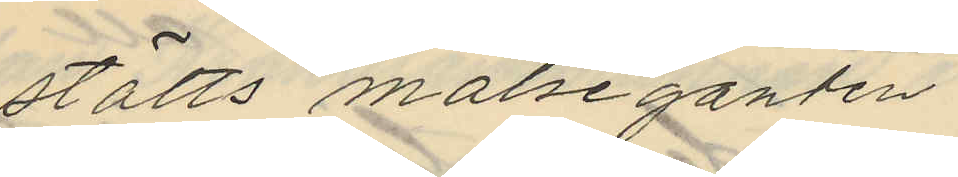stälts målseganden.
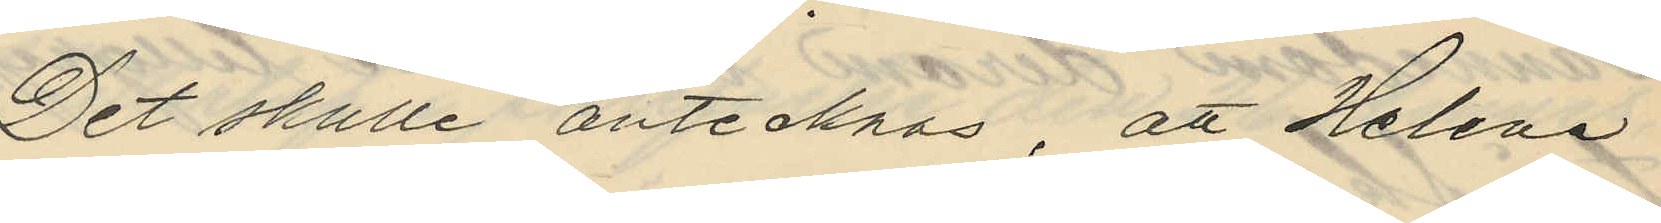Det skulle antecknas, att Helena
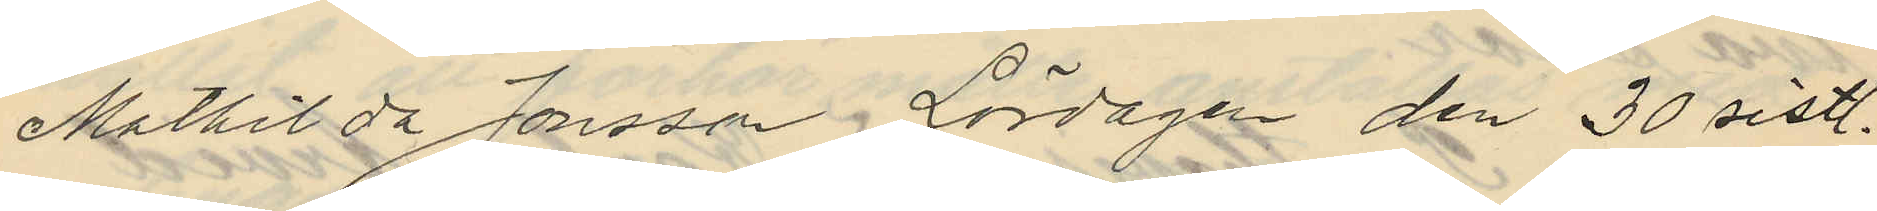Mathilda Jonsson, Lördagen den 30 sistl.
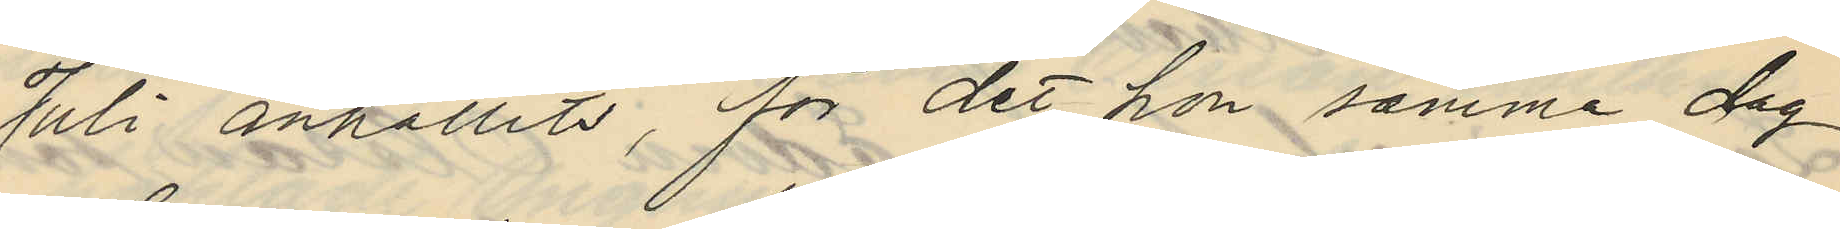Juli anhållits, för det hon samma dag
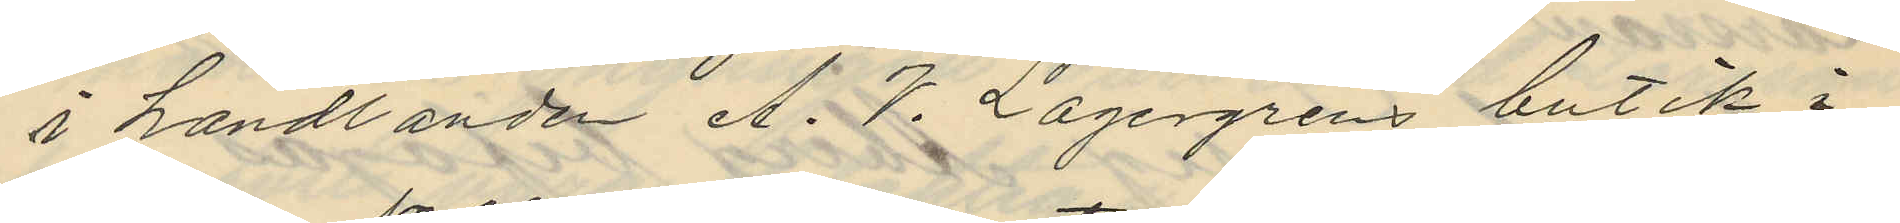i handlanden A. V. Lagergrens butik i
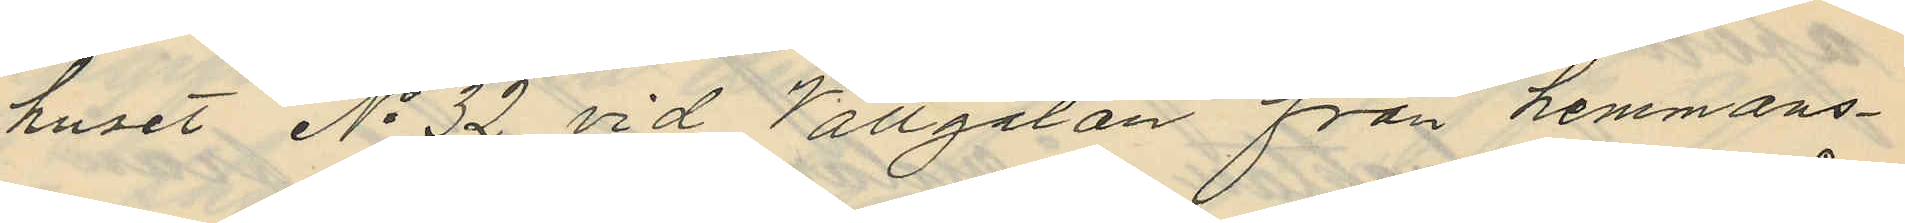huset No 32 vid Vallgatan från hemmans¬
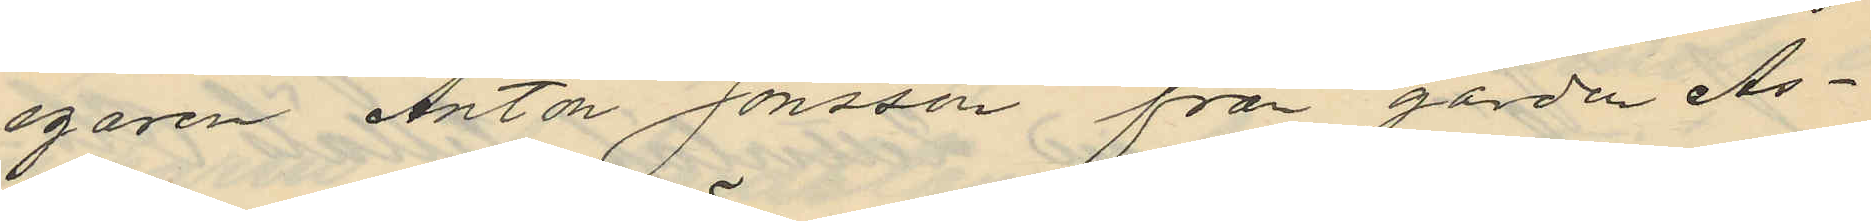egaren Anton Jonsson från gården Ås¬
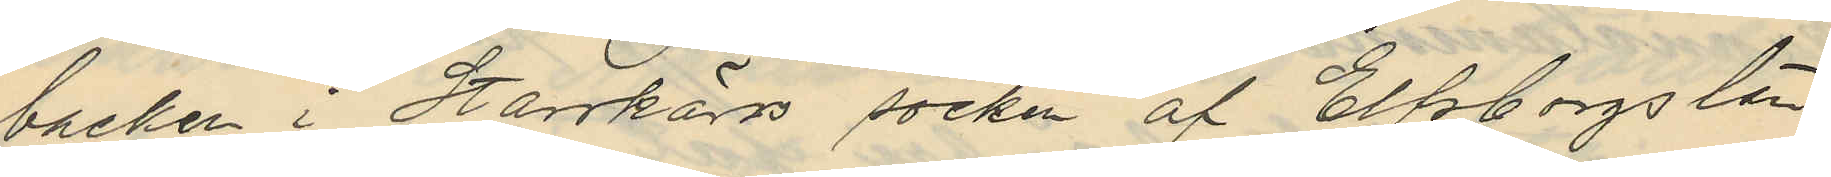backen i Starrskärs socken af Elfsborgs län
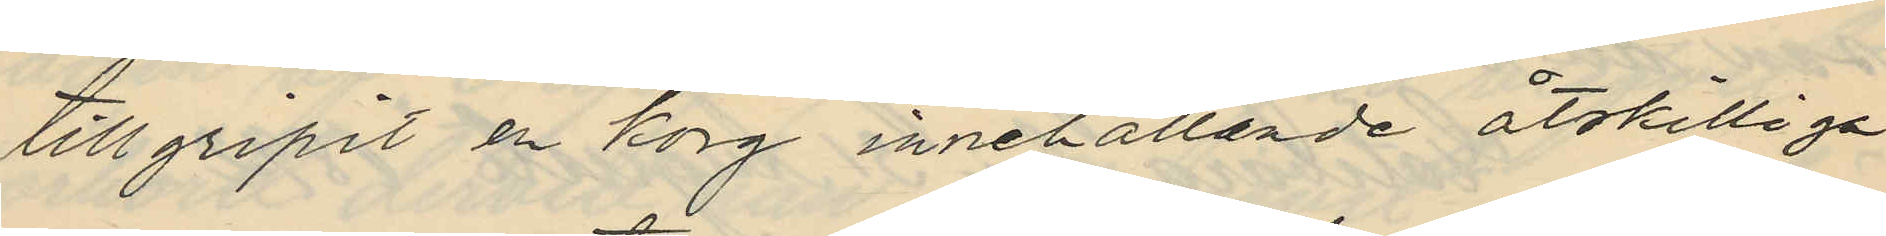tillgripit en korg innehållande åtskilliga
